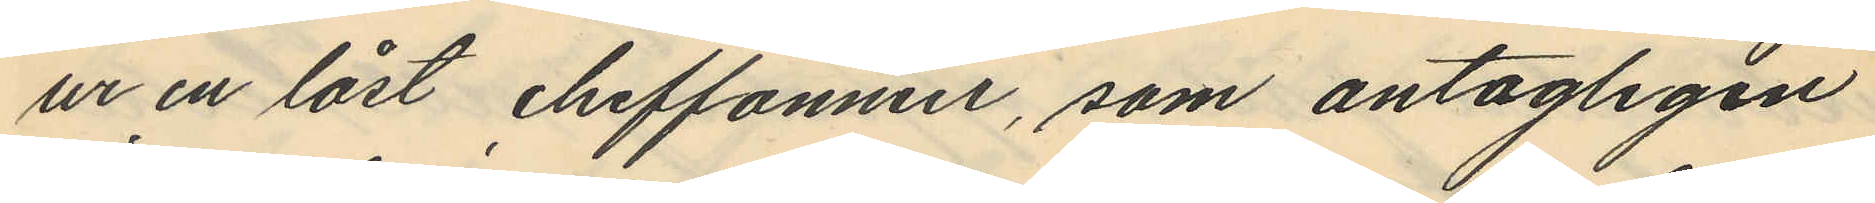ur en låst cheffonier, som antagligen
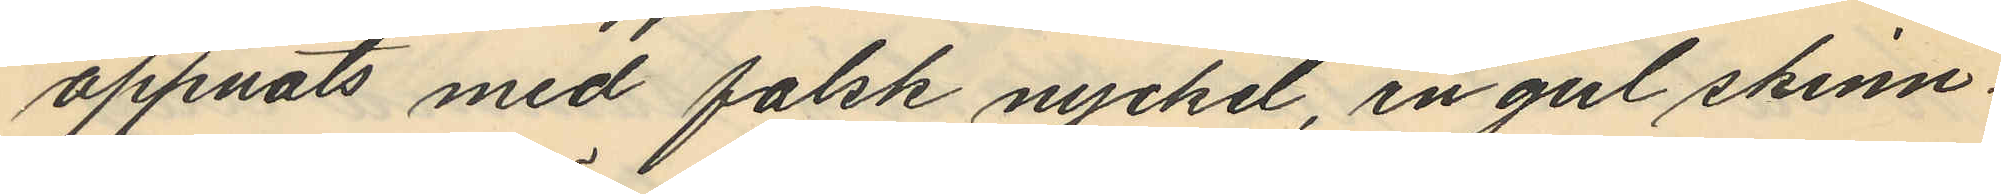öppnats med falsk nyckel, en gul skinn¬
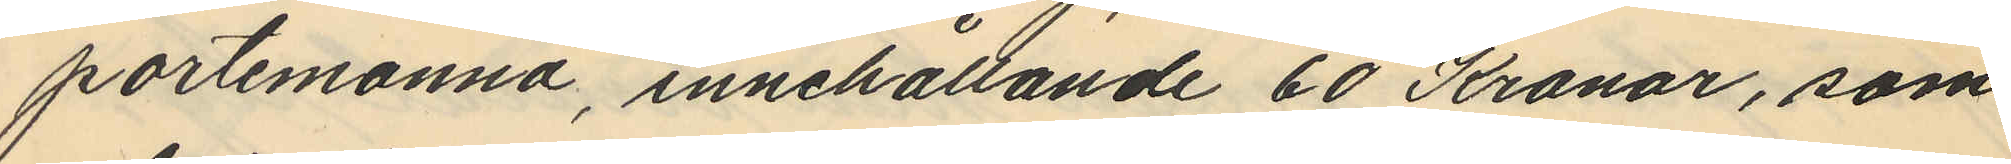portemonnä, innehållande 60 Kronor, som
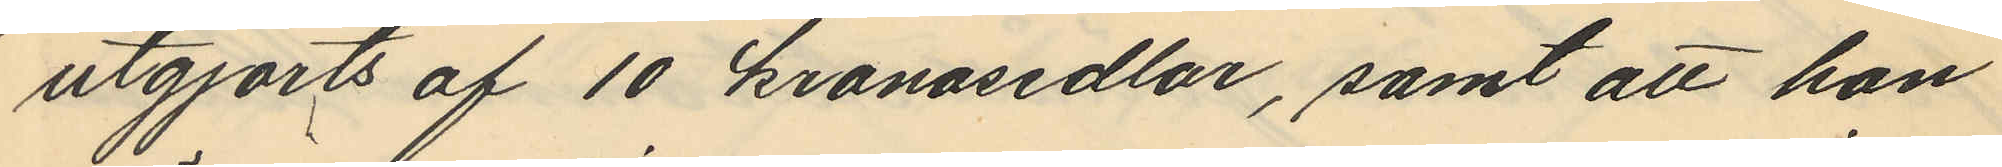utgjorts af 10 kronosedlar, samt att hon
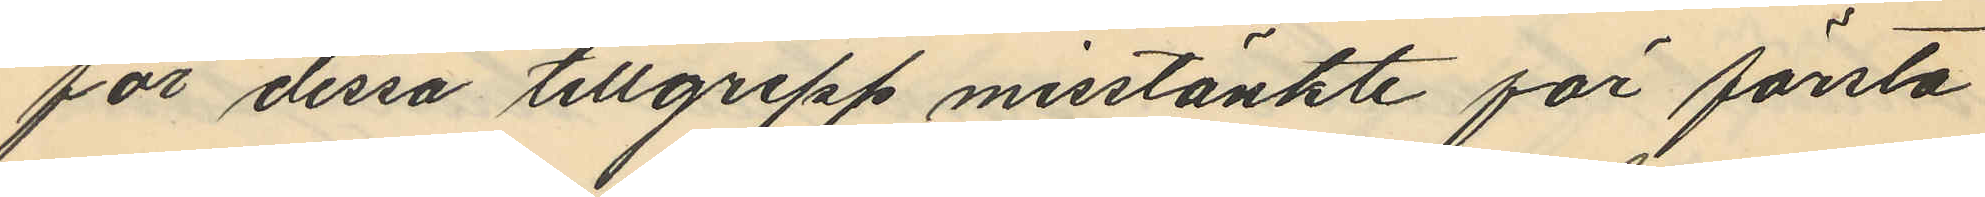för dessa tillgrepp misstänkte för första
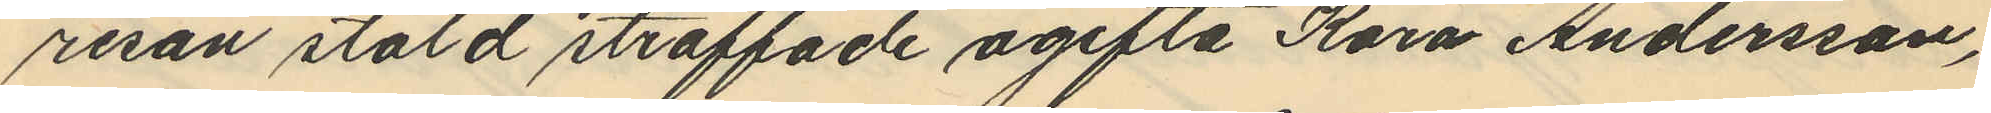resan stöld straffade ogifta Kara Andersson,
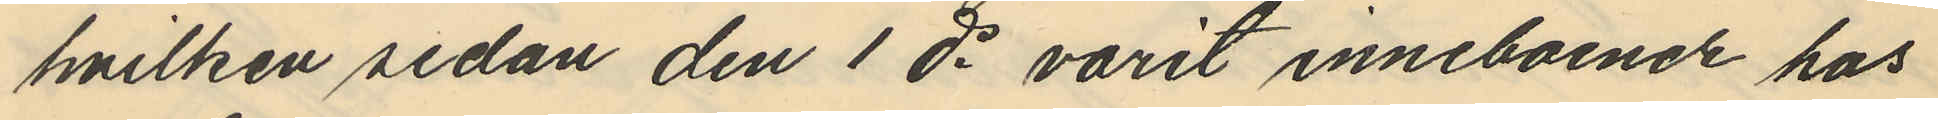hvilken sedan den 1 ds varit inneboende hos
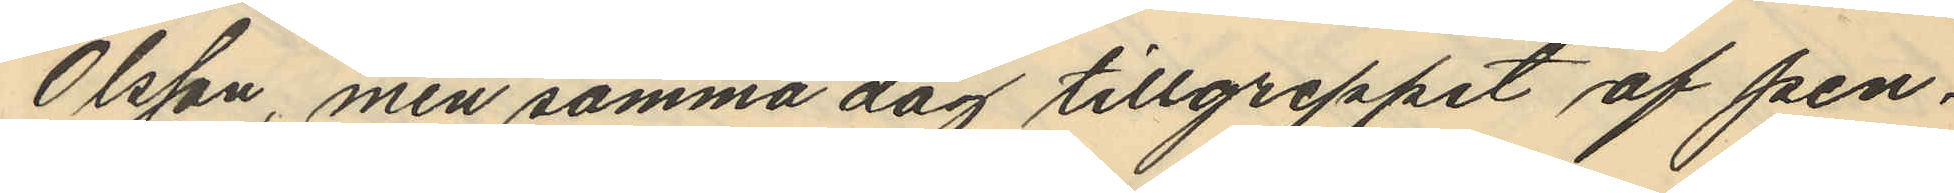Olsson, men samma dag tillgreppet af pen¬
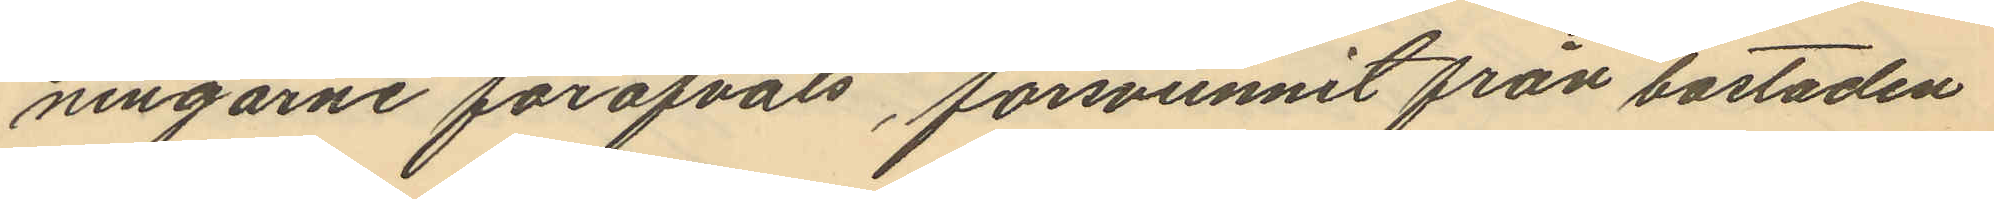ningarne föröfvats, försvunnit från bostaden
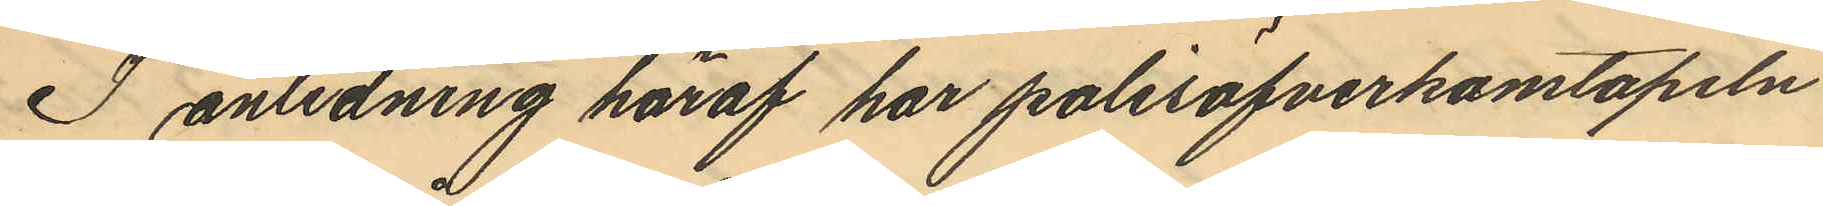I anledning häraf har polisöfverkonstapeln
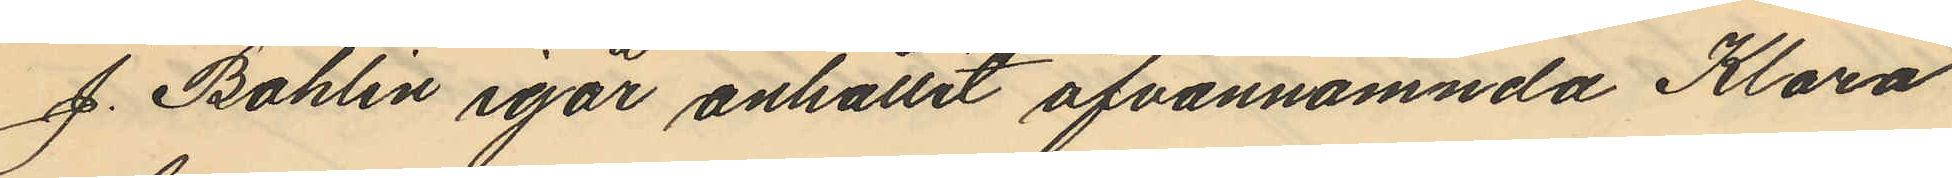J. Bohlin igår anhållit ofvannämnda Klara
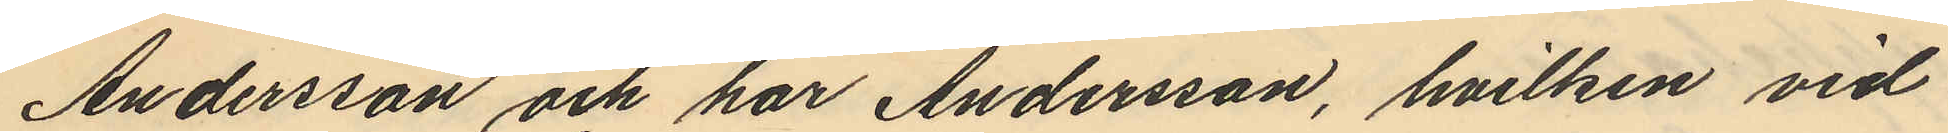Andersson och har Andersson, hvilken vid
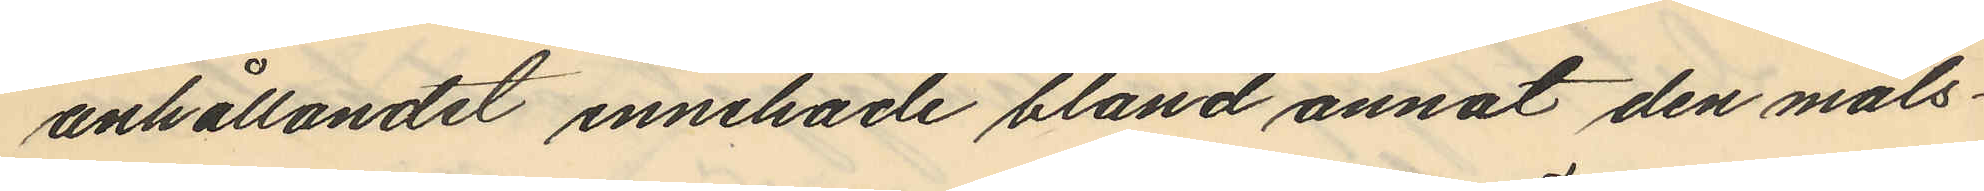anhållandet innehade bland annat den måls¬
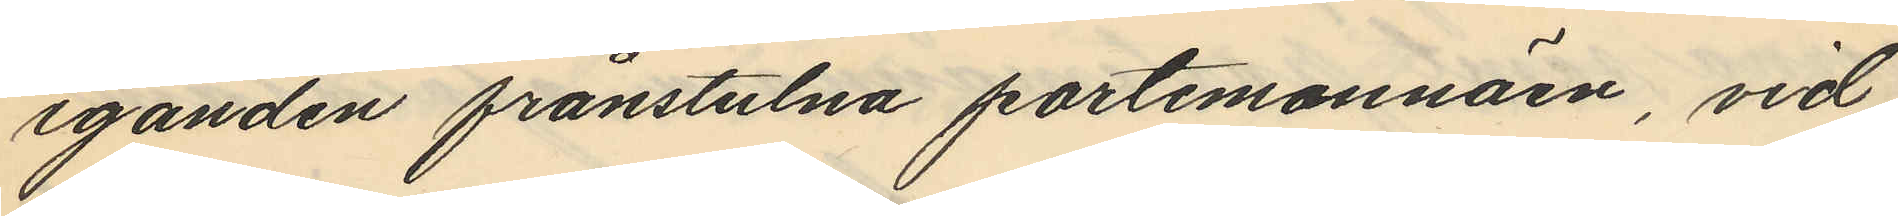eganden frånstulna portemonnäen, vid
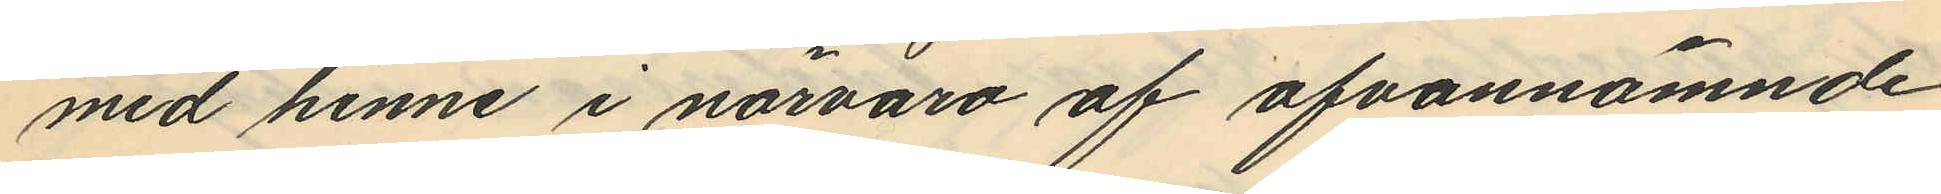med henne i närvaro af ofvannämnde
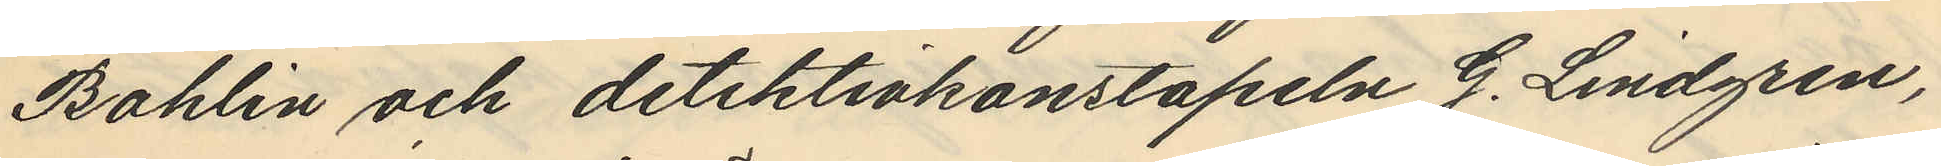Bohlin och detektivkonstapeln G. Lindgren,
